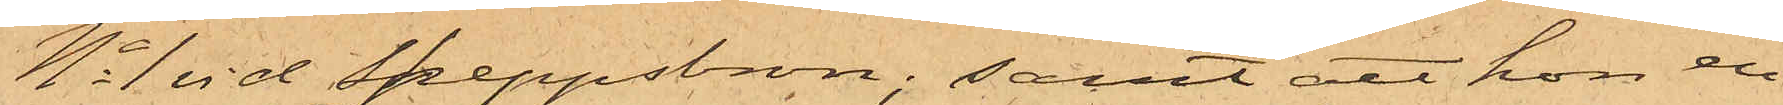No 1 vid Skeppsbron; samt att hon en
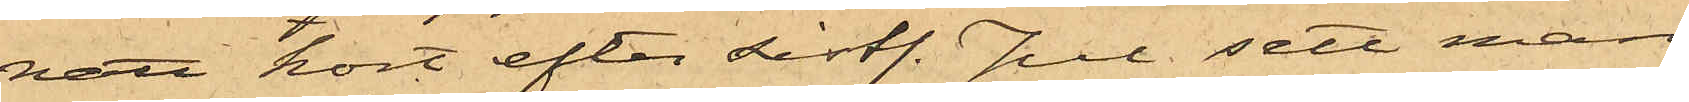natt kort efter sistl. Jul sett man¬
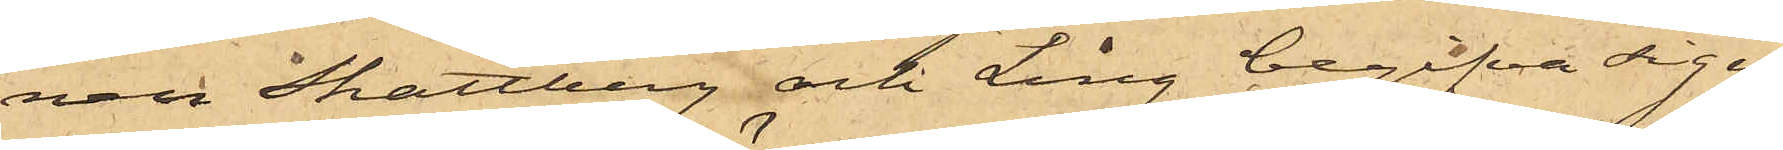nen Skattberg och Ling begifva sig ut
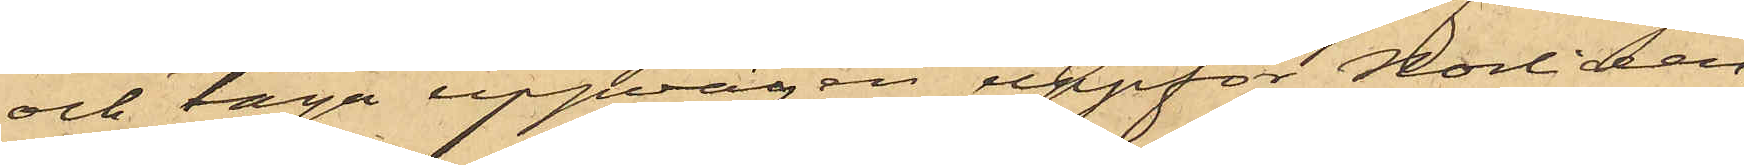och taga uppvägen uppför Norliden;
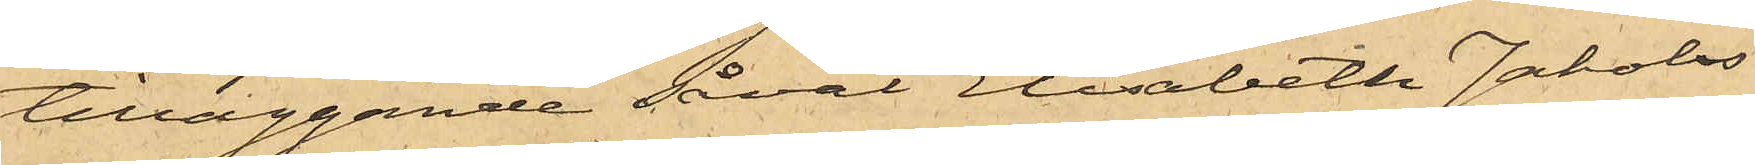tilläggande såväl Elisabeth Jakobs¬
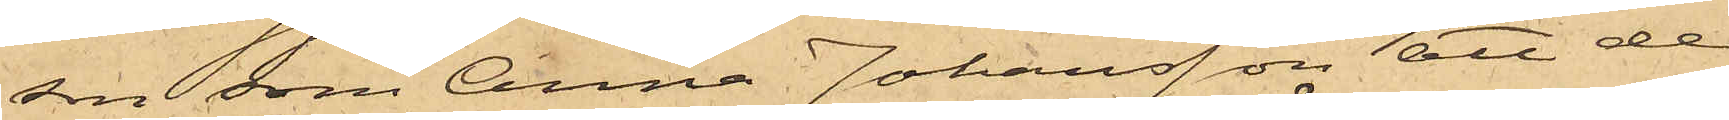son som Anna Johansson att de
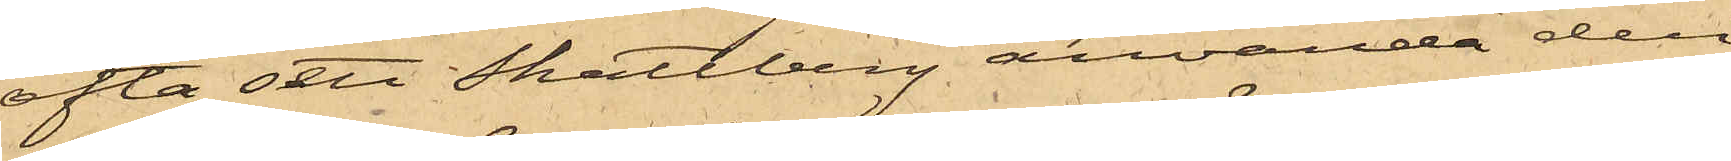ofta sett Skattberg använda den
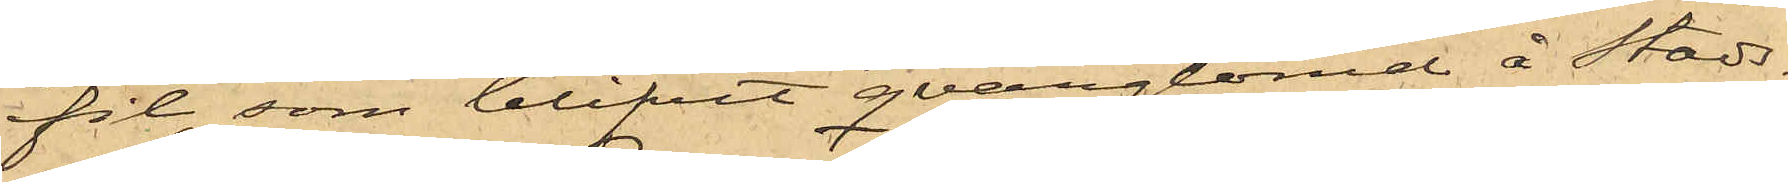fil, som blifvit qvarglömd å Stads¬
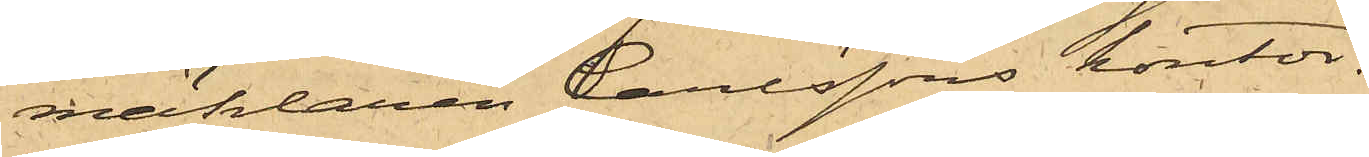mäklaren Carlssons kontor.
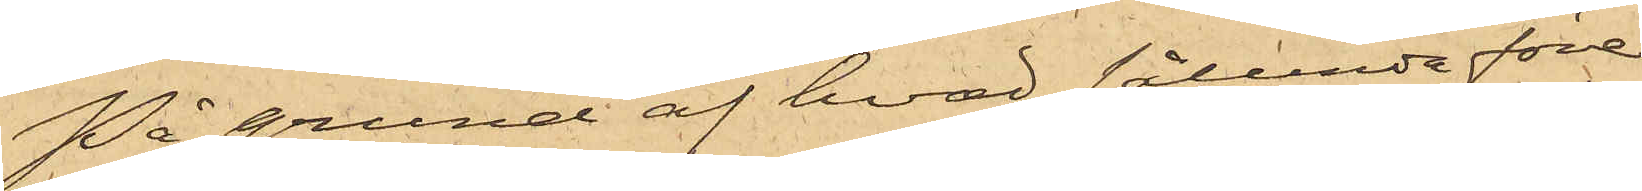På grund af hvad sålunda före¬
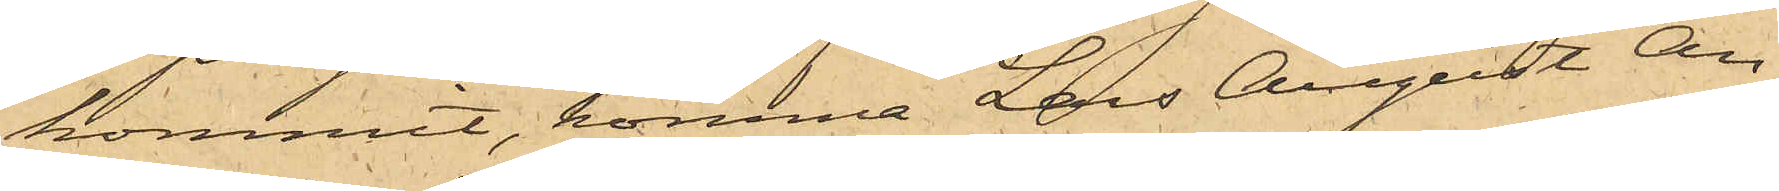kommit, komma Lars August An¬
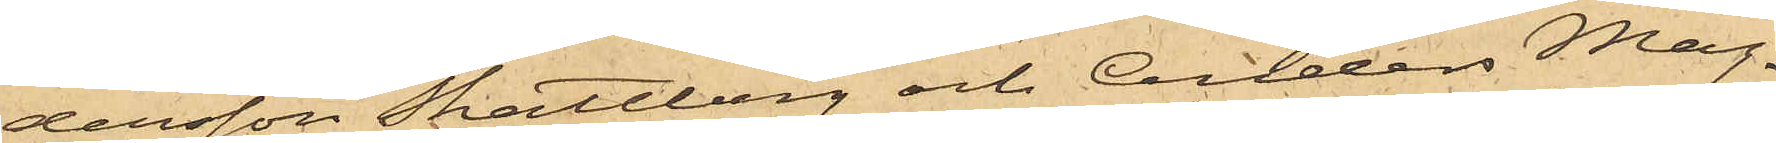dersson Skattberg och Anders Mag¬
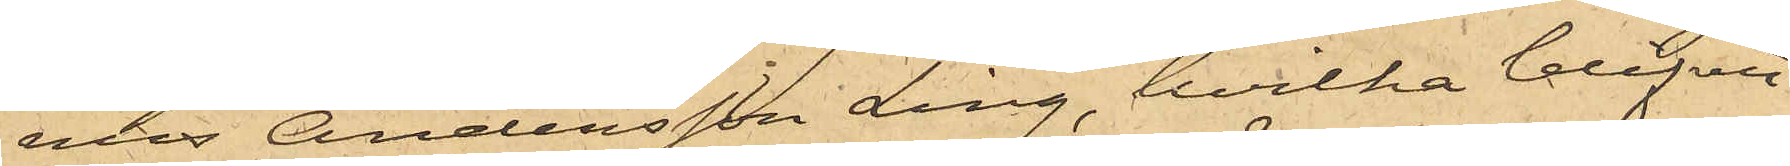nus Andersson Ling, hvilka blifvit
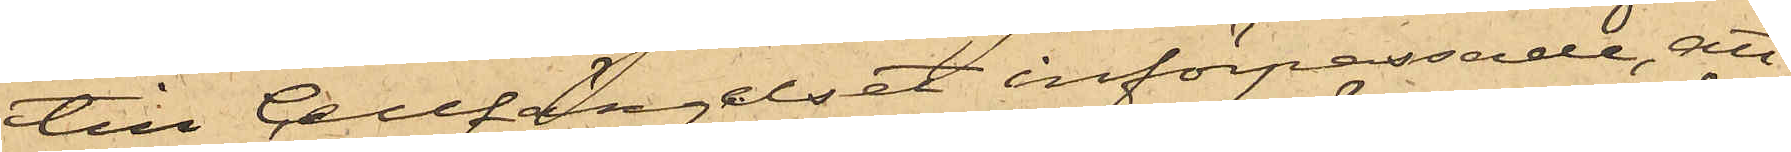till Cellfängelset införpassade, att
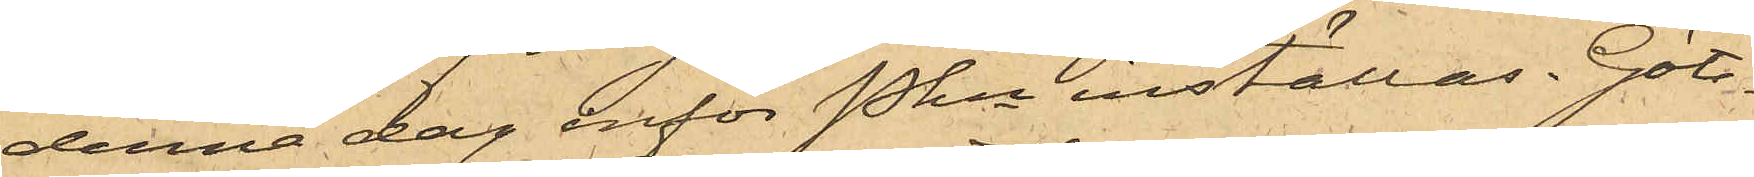denna dag inför Pkn inställas. Göte¬
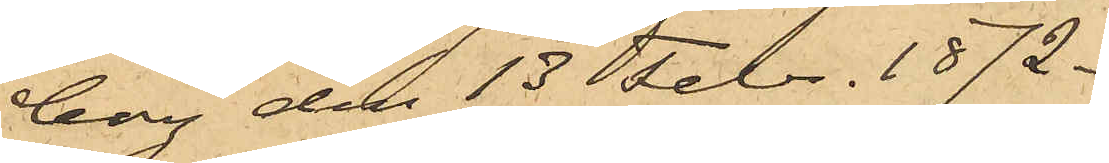borg den 13 Febr. 1872.
